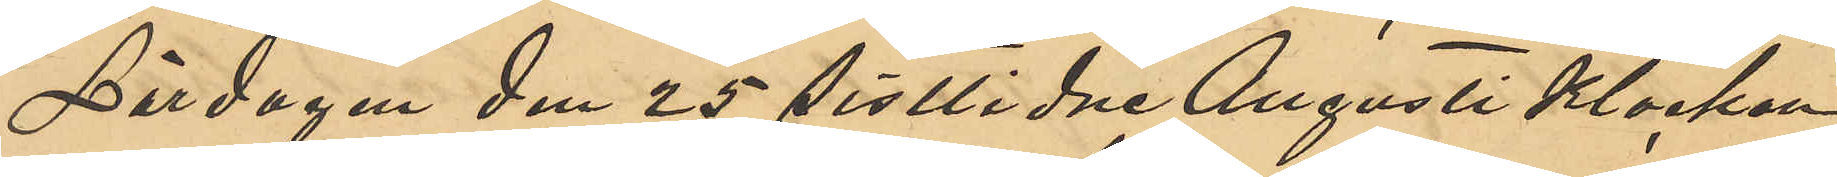Lördagen den 25 sistlidne Augusti Klockan
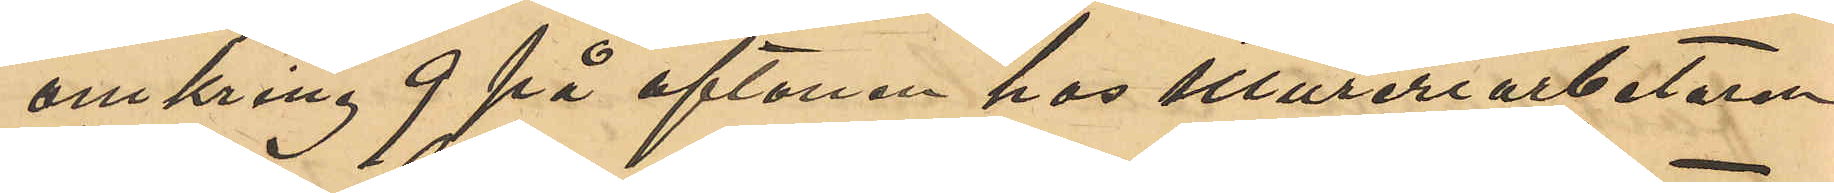omkring 9 på aftonen hos Mureriarbetaren
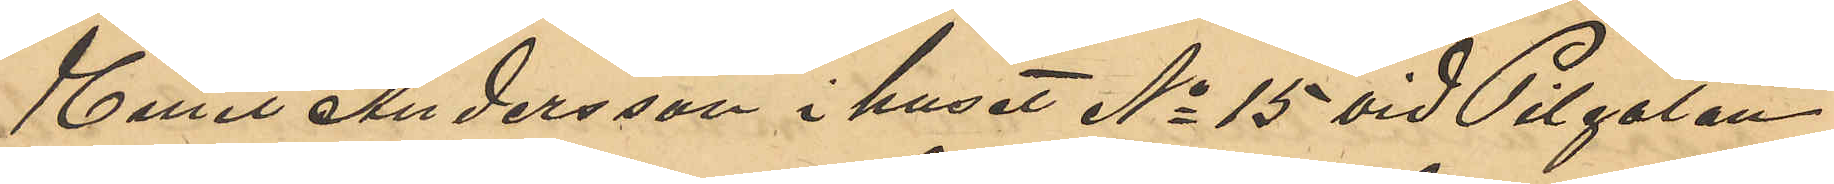Emil Andersson i huset No 15 vid Pilgatan
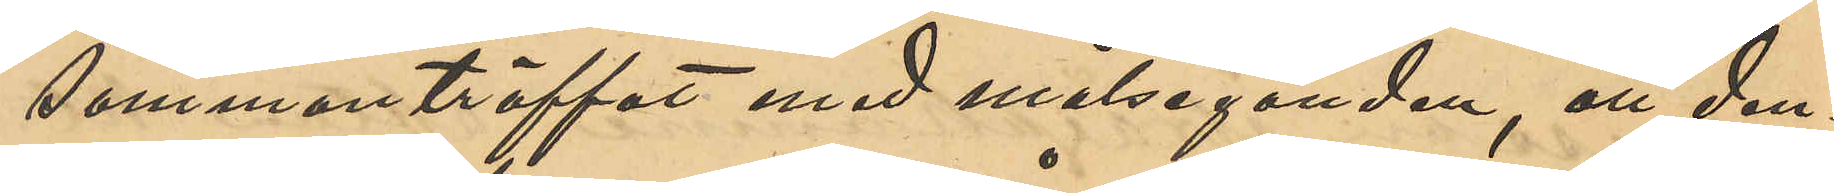sammanträffat med målseganden, att den¬
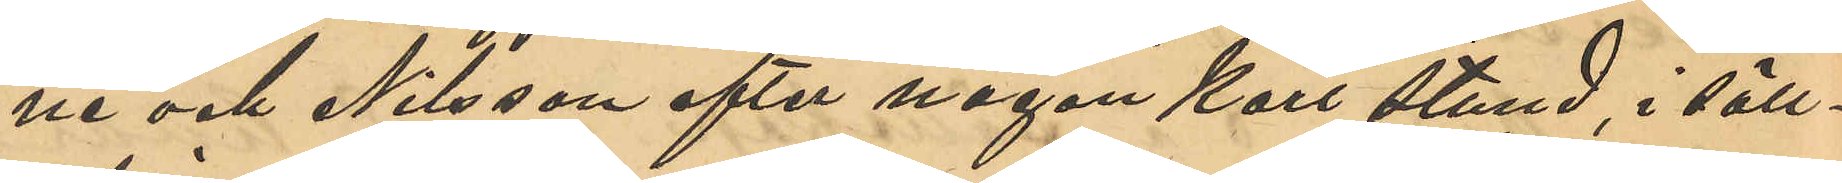ne och Nilsson efter någon kort stund, i säll¬
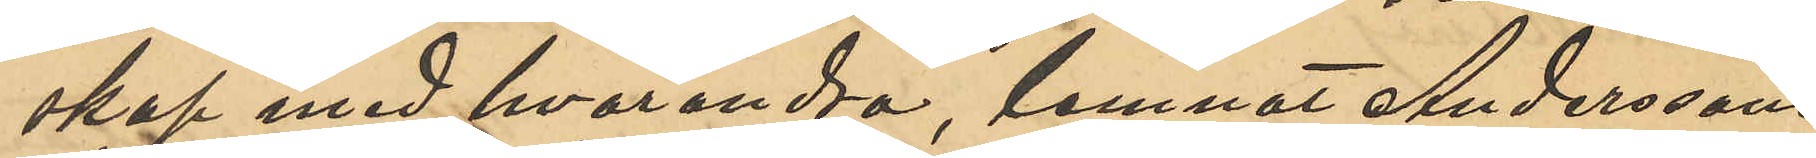skap med hvarandra, lemnat Anderssons
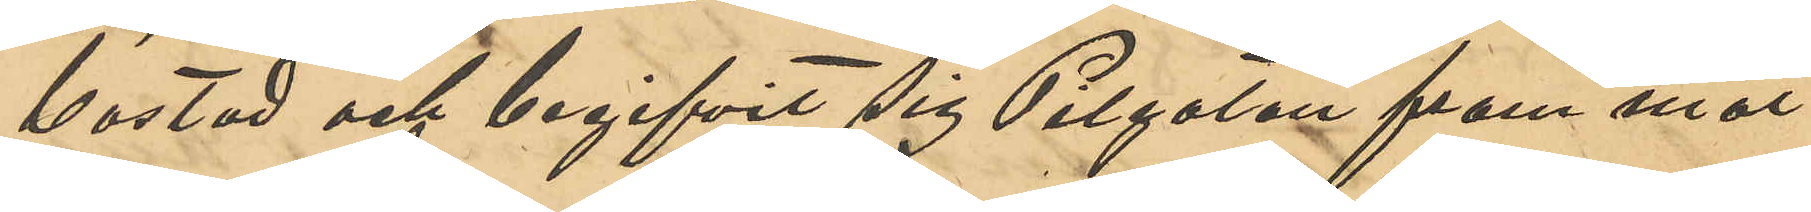bostad och begifvit sig Pilgatan fram mot
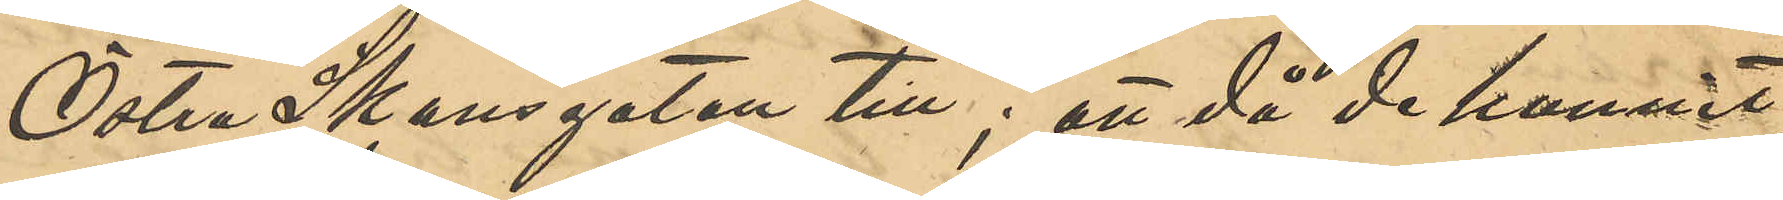Östra Skansgatan till; att då de kommit
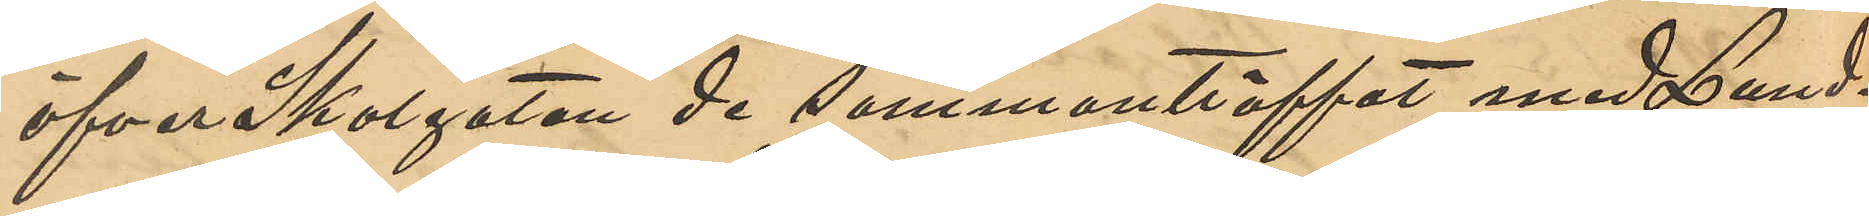öfver Skolgatan de sammanträffat med Lund¬
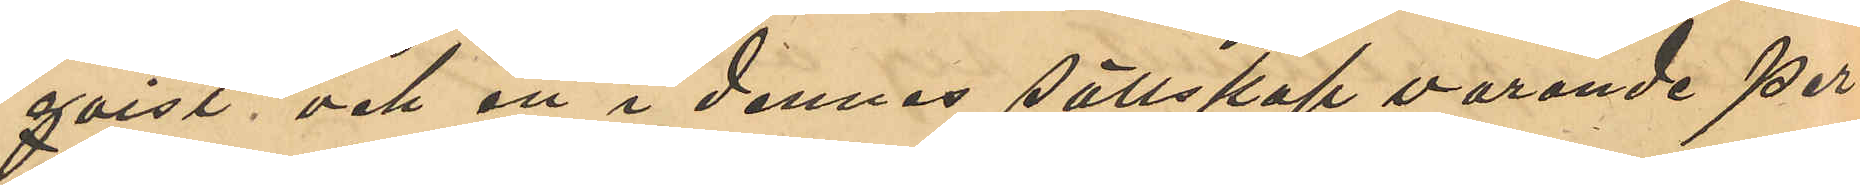qvist och en i dennes sällskap varande per¬
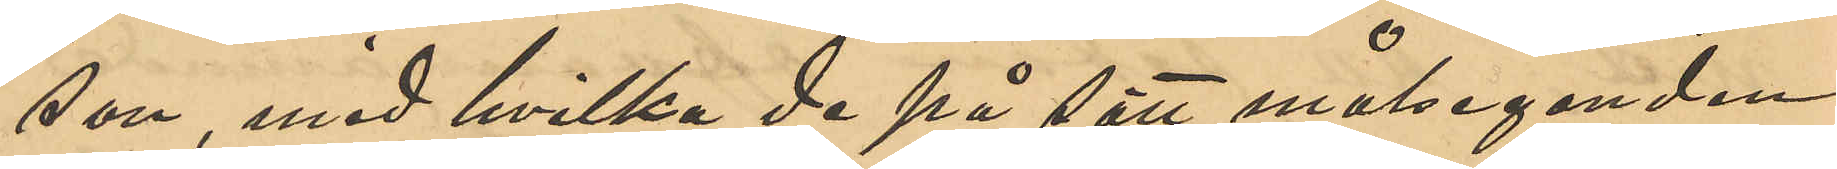son, med hvilka de på sätt målseganden
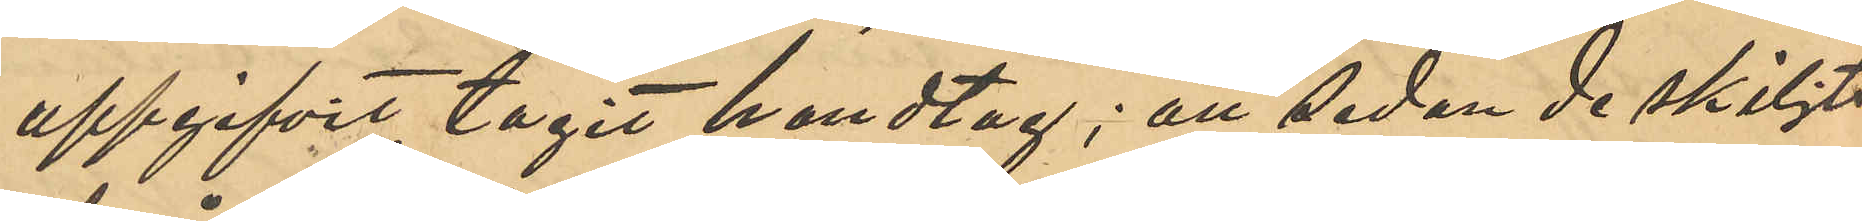uppgifvit tagit handtag; att sedan de skiljts
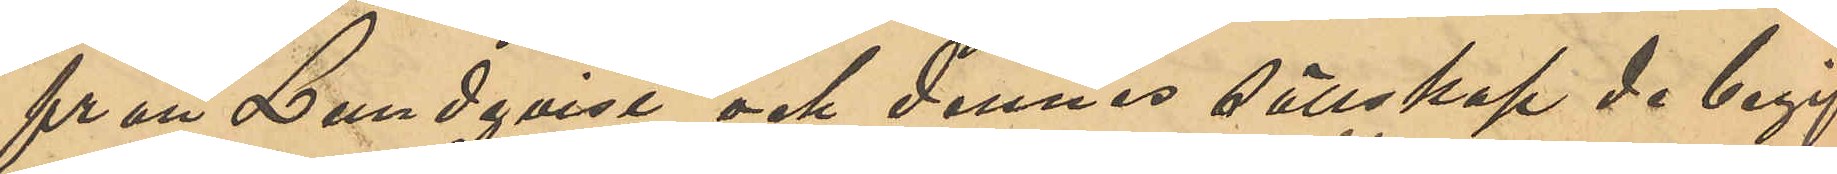från Lundqvist och dennes sällskap de begif¬
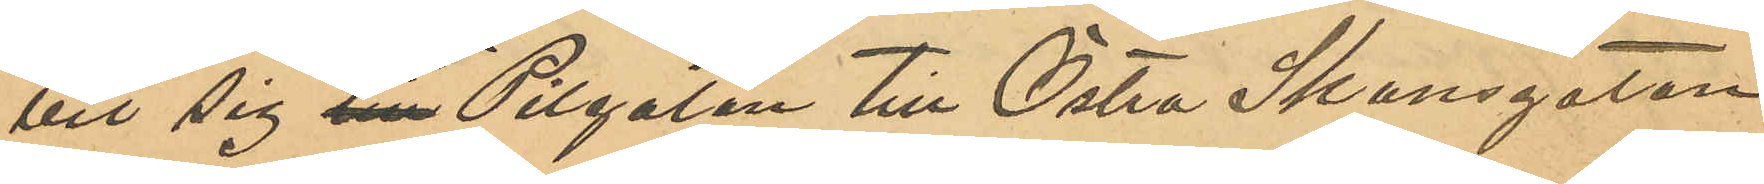vit sig till Pilgatan till Östra Skansgatan
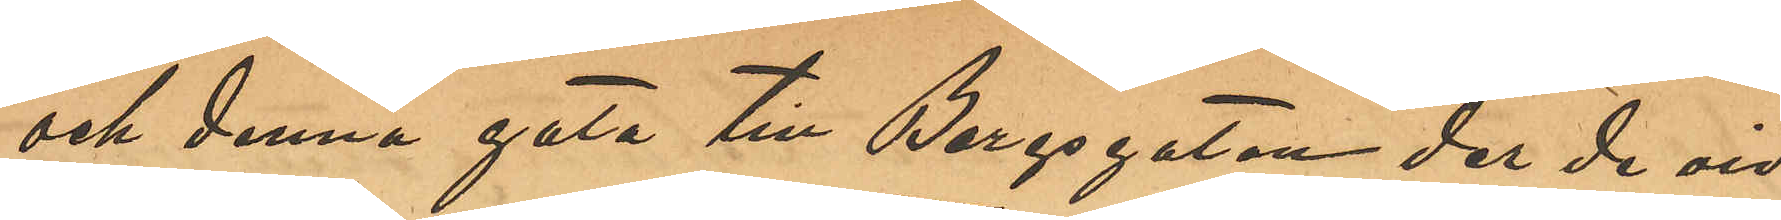och denna gata till Bergsgatan der de vid
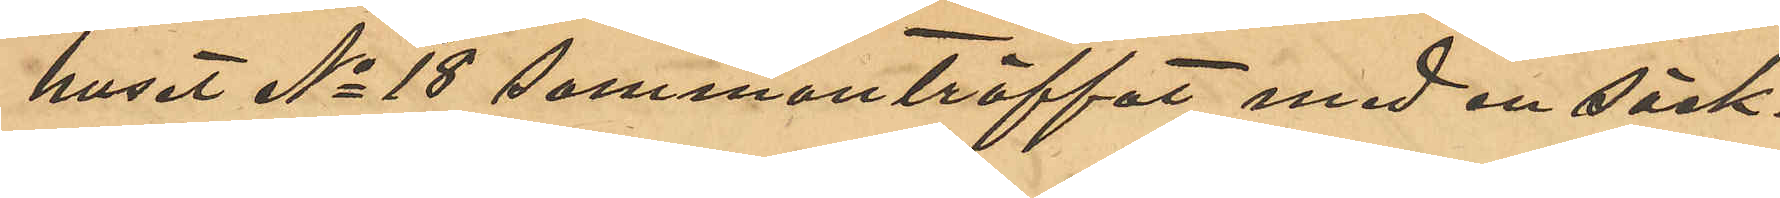huset No 18 sammanträffat med en säck¬
